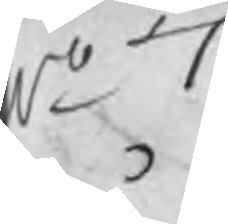No 7
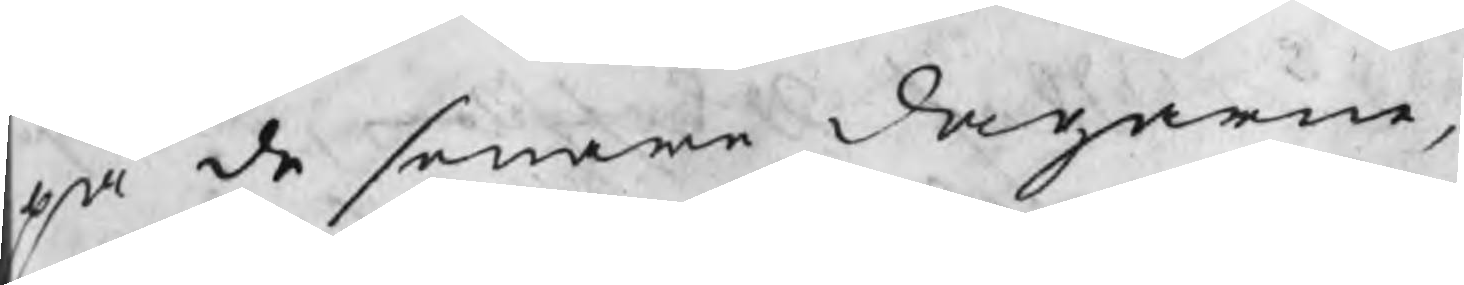på de senare dagarne,
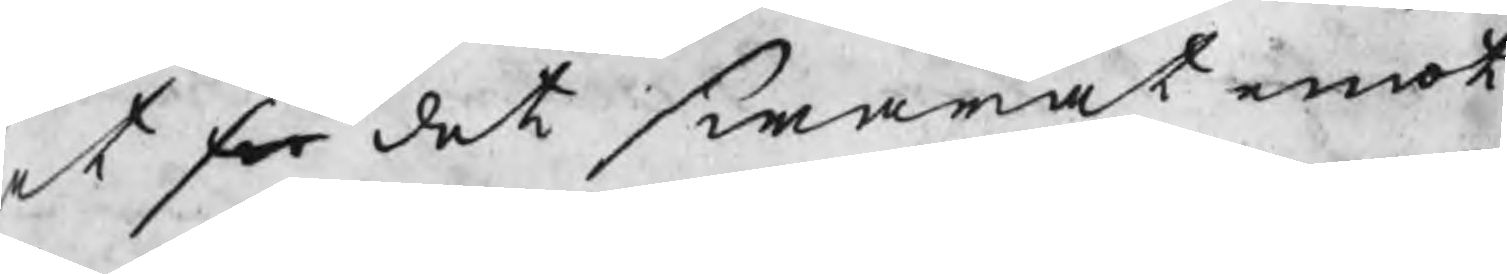at sw det swarat emot
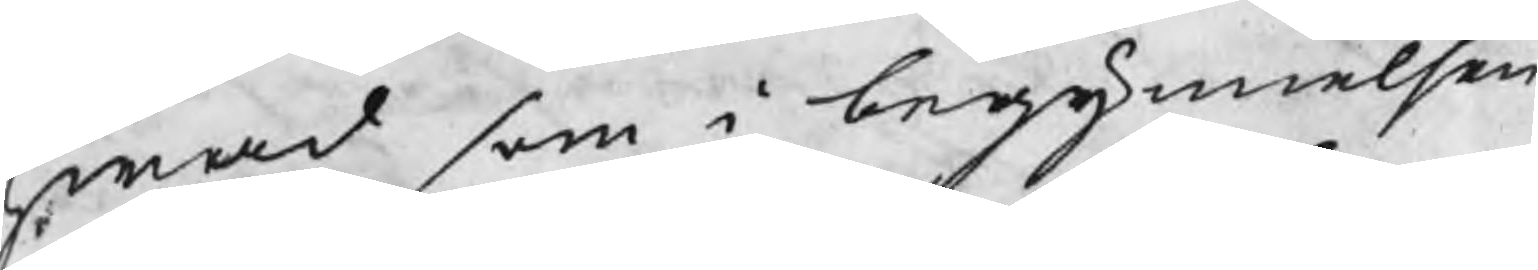hwad som i begynnelsen
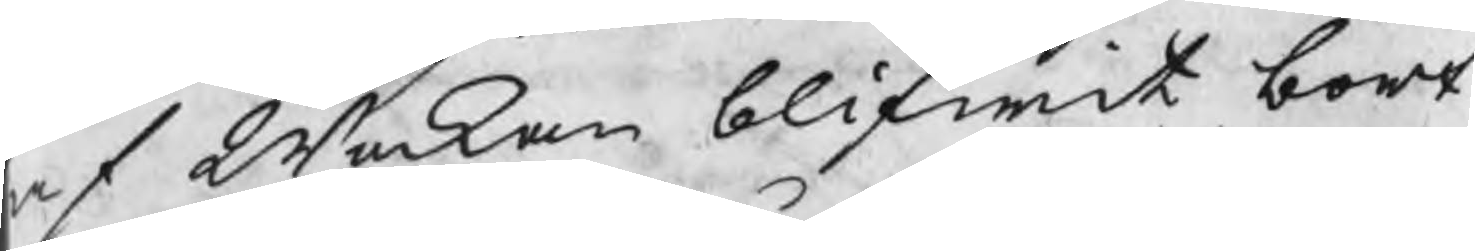af Weckan blifwit bort¬
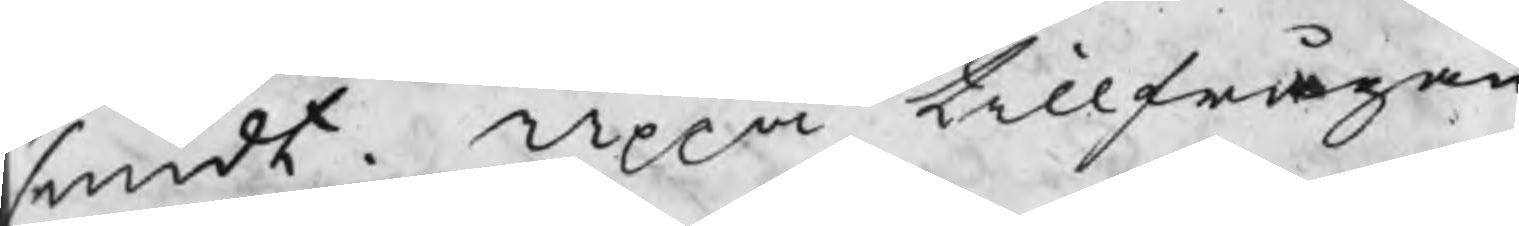smidt. Uppå tillfrågan
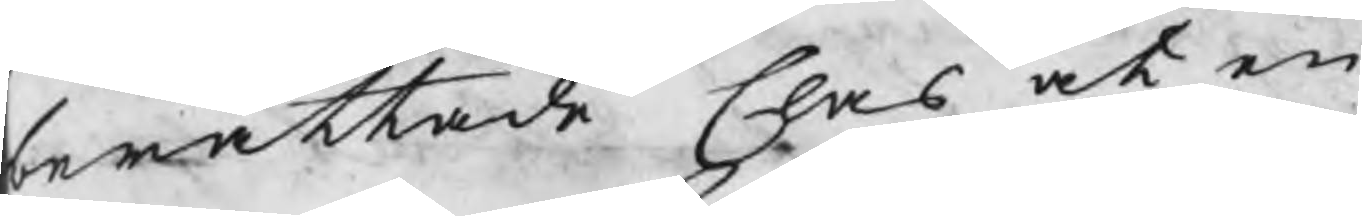berättade Clas at en
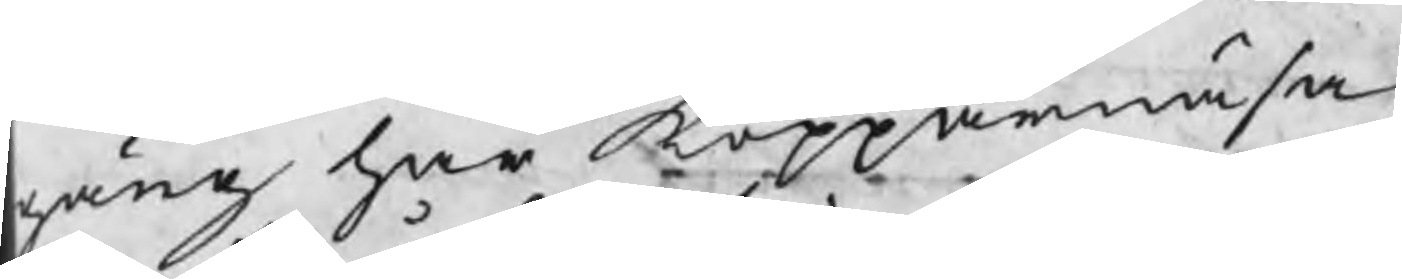gång har Kopparnäsa
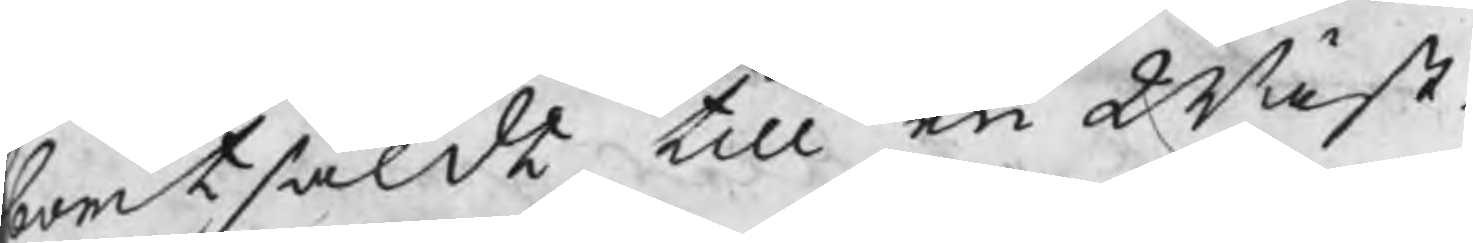bortsåldt till en Wäst¬
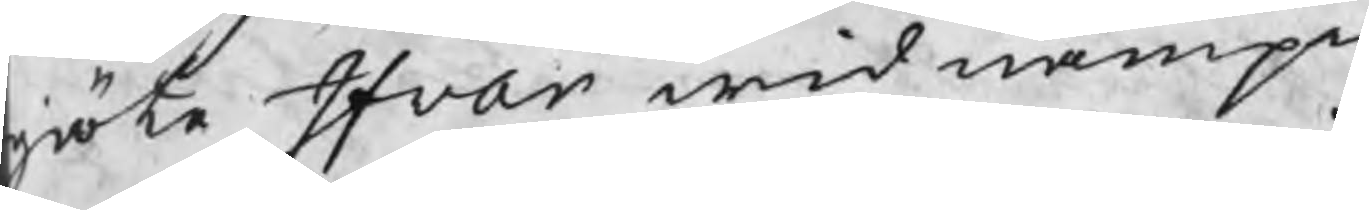giöte Ifvar wid nampn
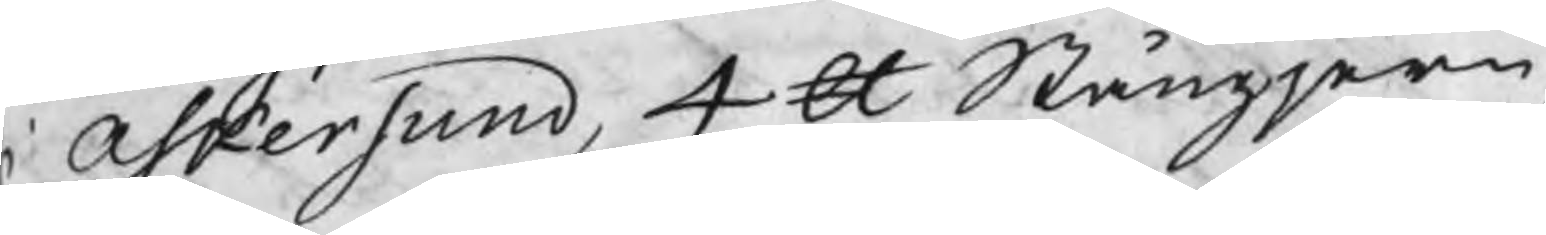i Askersund, 4 ℔ Stångjern,
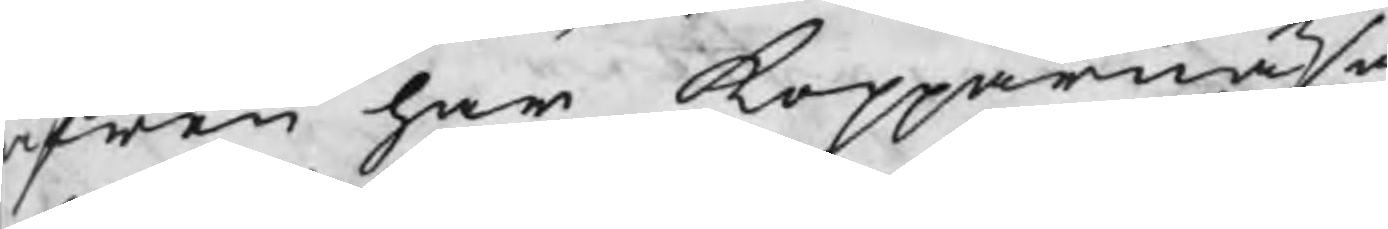äfwen har Kopparnäsa
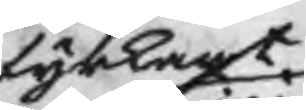fyrkant
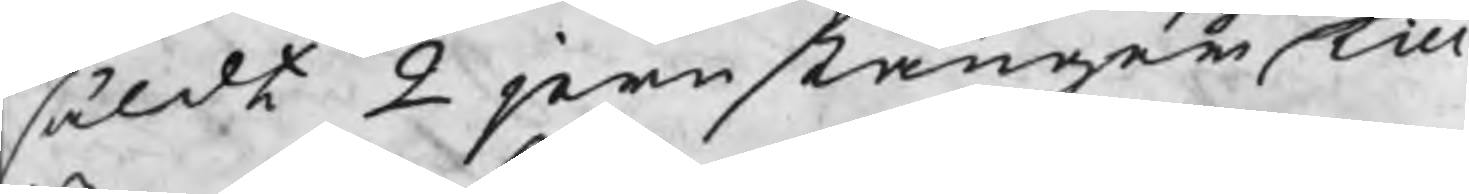såldt 2 jernstänger till
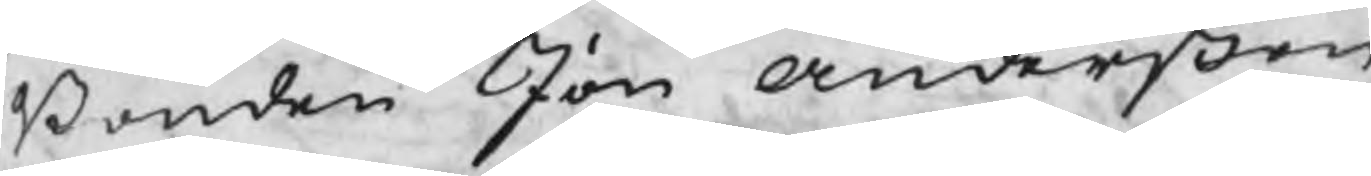Bonden Jon Anderßon
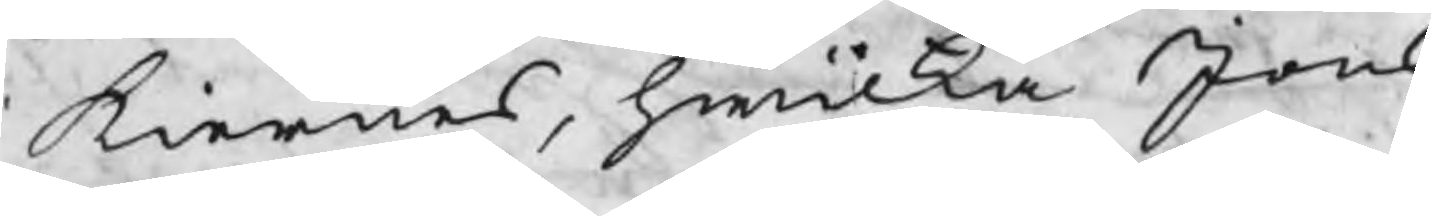i Kiernes, hwilka Jons
